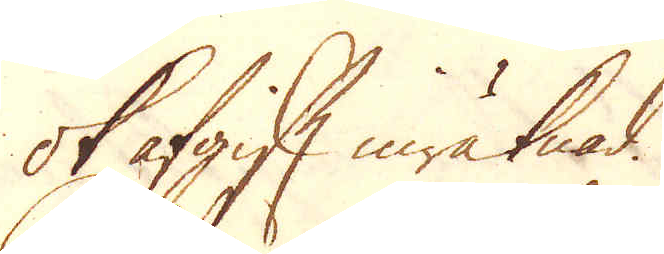ok afgift inräknad.
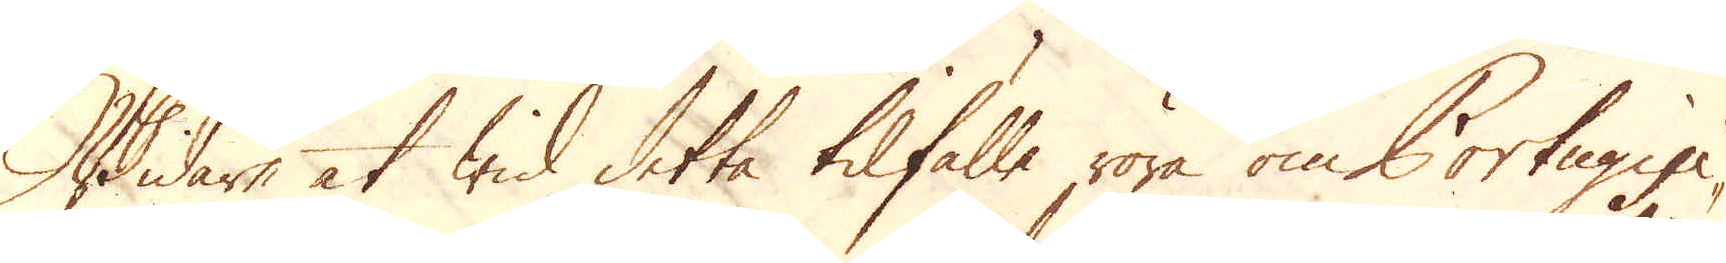Widare at wid detta tilfälle röra om Portugisi-
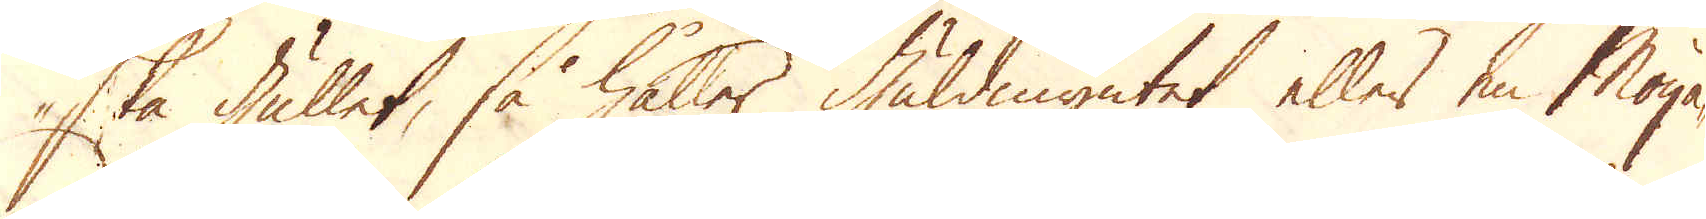ska gullet, så håller Guldmyntet eller en Moya-
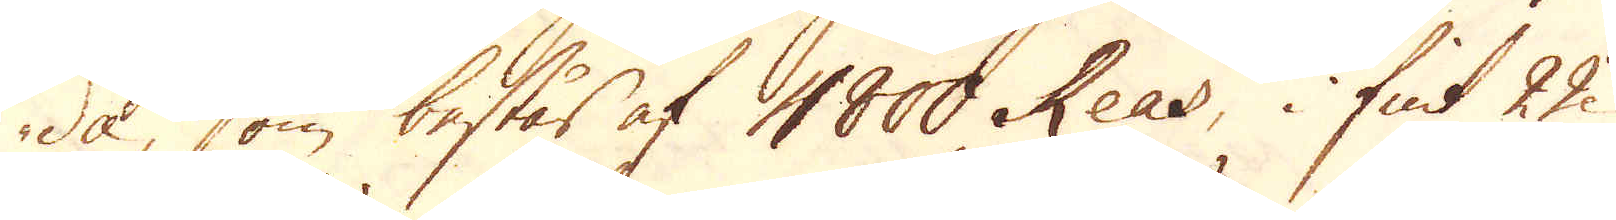de, som består af 4800 Reas, i fint 22
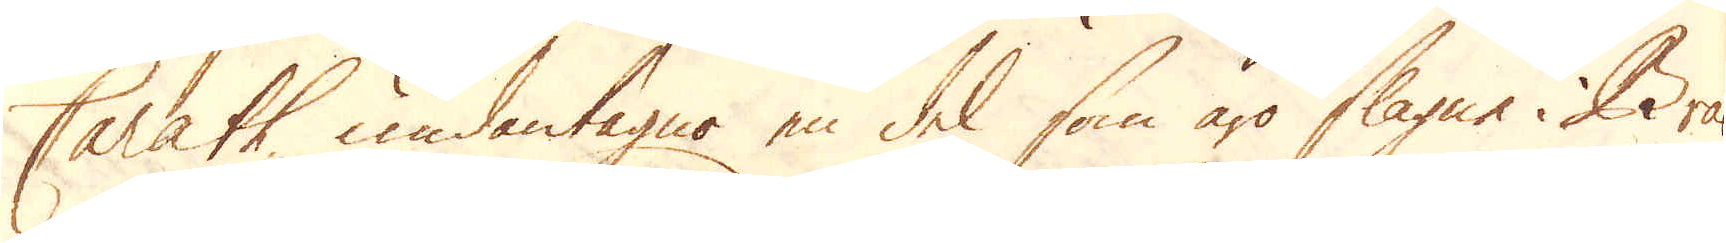Carath, undantagne en del som äro slagne i Bra-
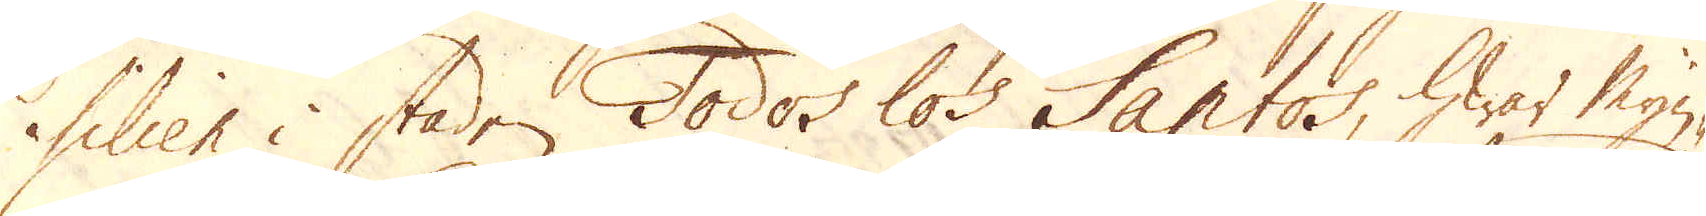silien i staden Todos los Santos, hwar Myn-
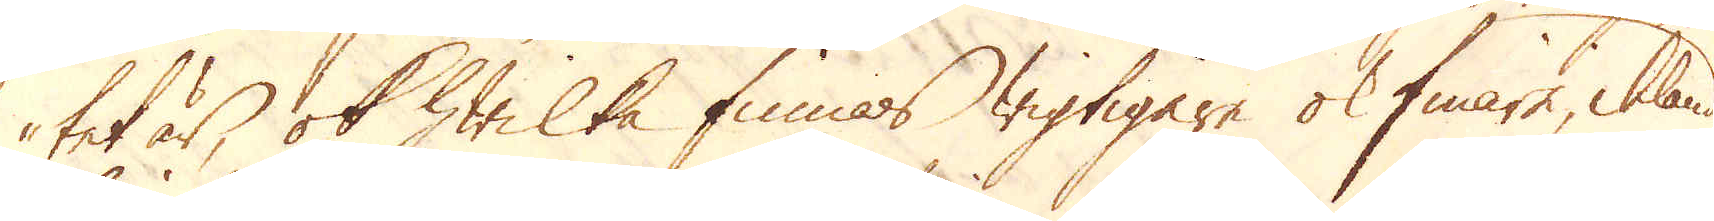tet är, ok hwilka finnes wigtigare ok finare, ibland
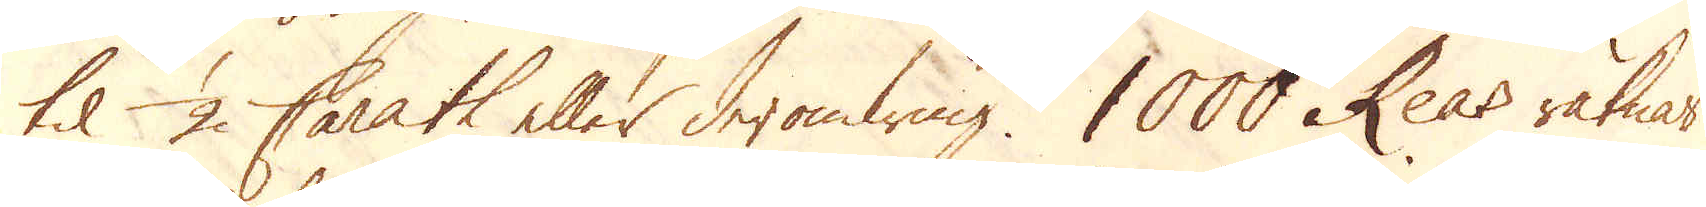til 1/2 Carath eller deromkring. 1000 Reas räknar
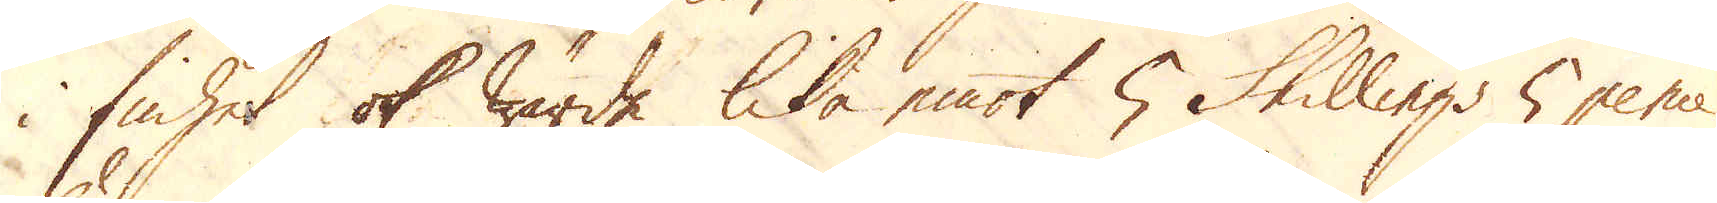i finhet ok wärde lika emot 5 Skillings 5 pence
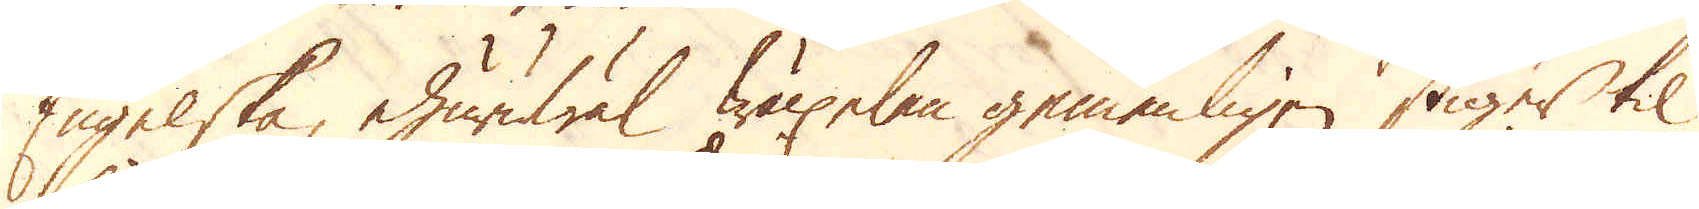Engelska, ehuruwäl wäxelen gemenligen stiger til
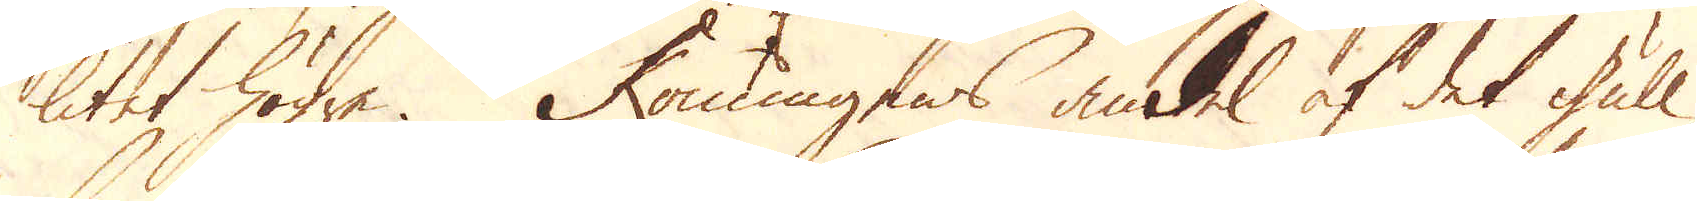litet högre. Konungens andel af det gull
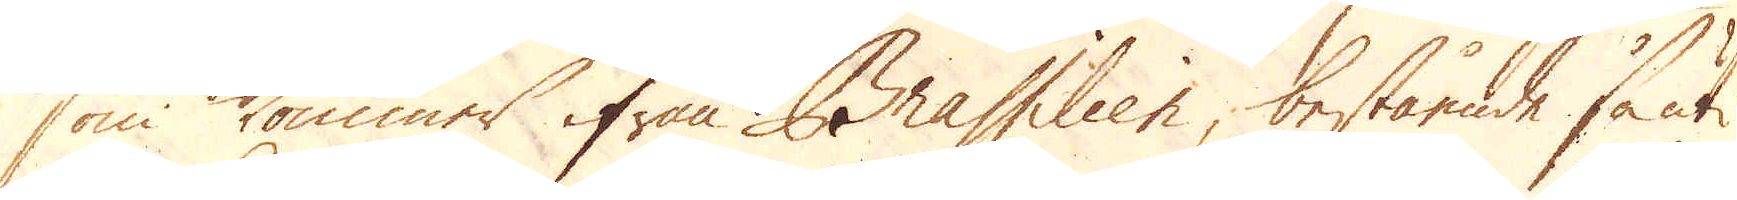som kommer ifrån Brassilien, bestående så uti
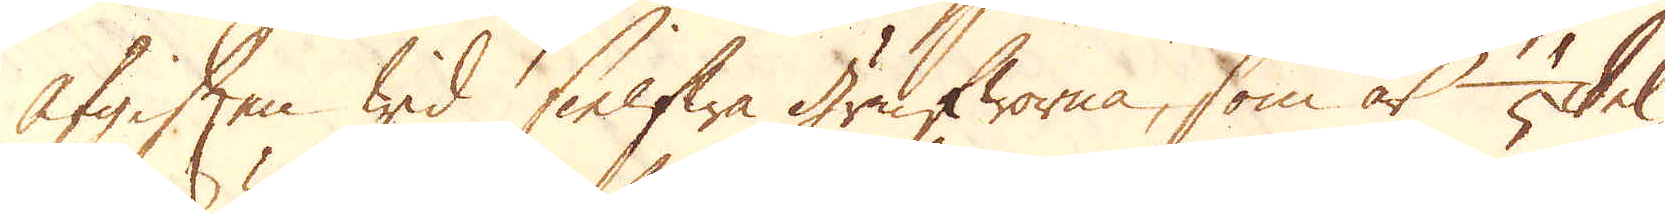afgiften wid sielfwa grufworna, som är 1/5 del
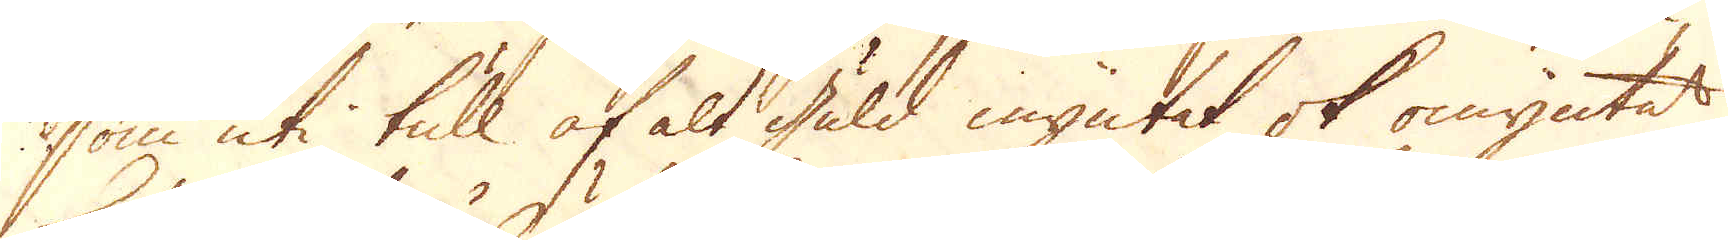som uti tull af alt guld myntet ok omyntat,
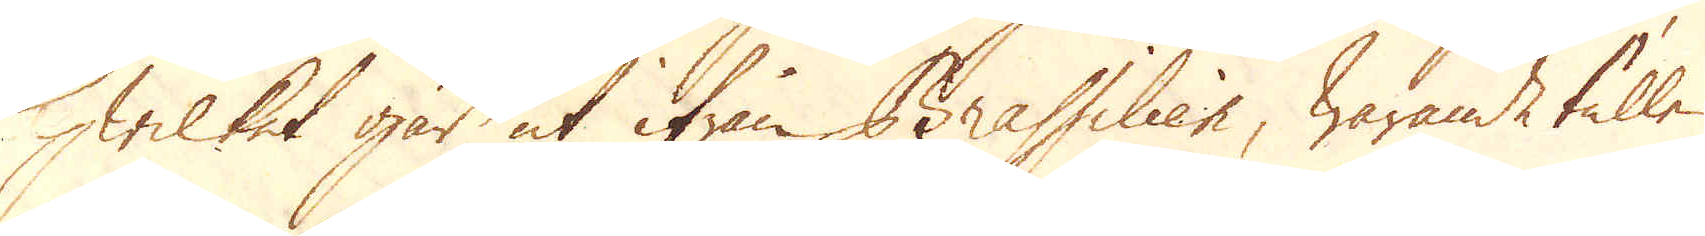hwilket går ut ifrån Brassilien, warande tullen
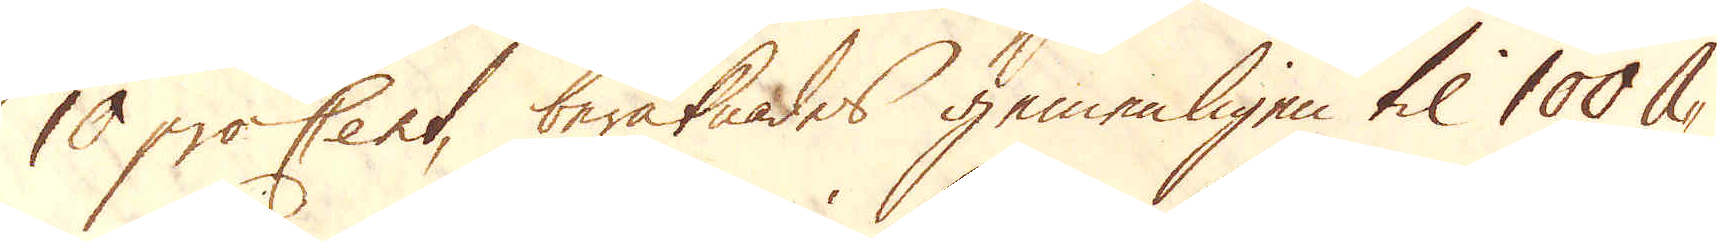10 proCent, beräknades gemenligen til 100 A-
